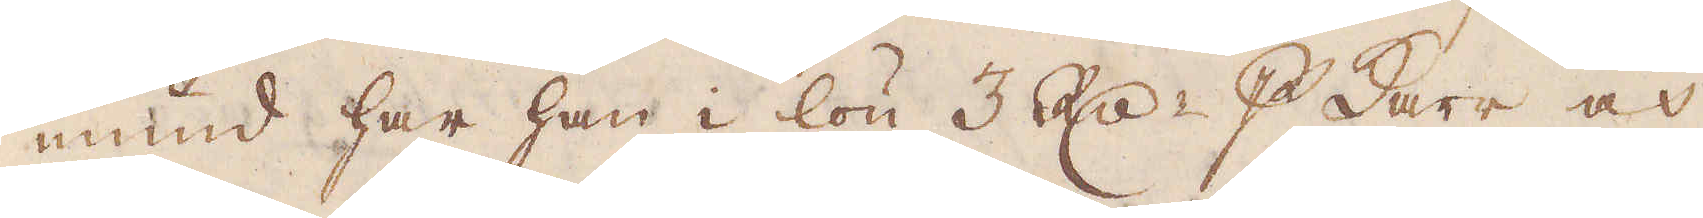mund har han i lön 3 R:dr p Karr och
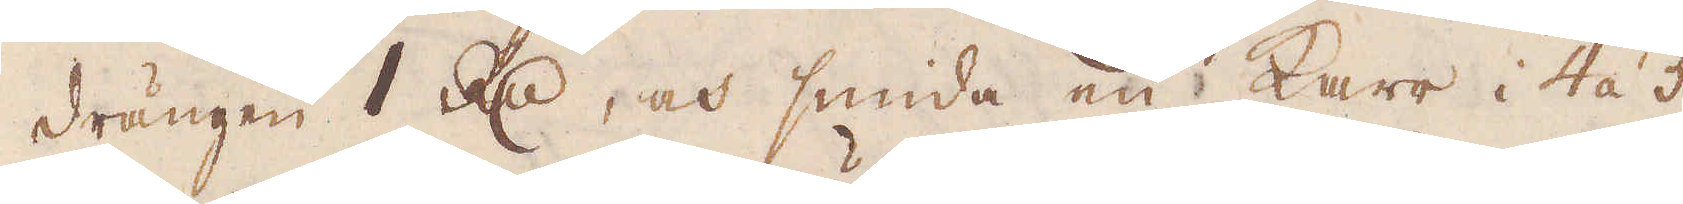drängen 1 R:dr, och smida en karr i 4 á 5
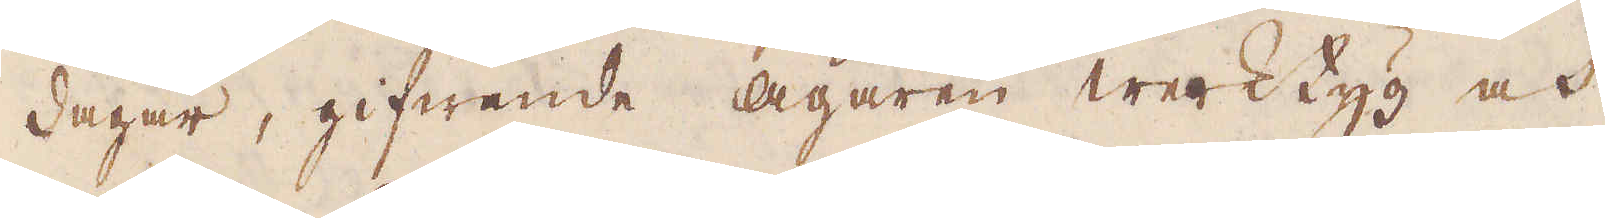dagar, gifwande Ägaren werktyg och
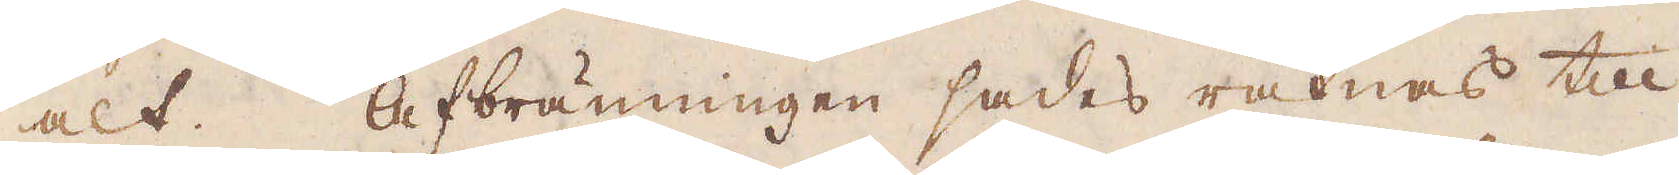alt. Afbränningen sades räknas till
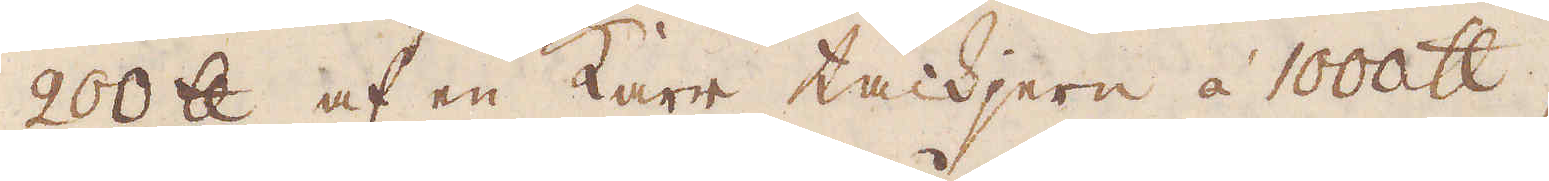200 skålpund af en karr tackjern à 1000 skålpund;
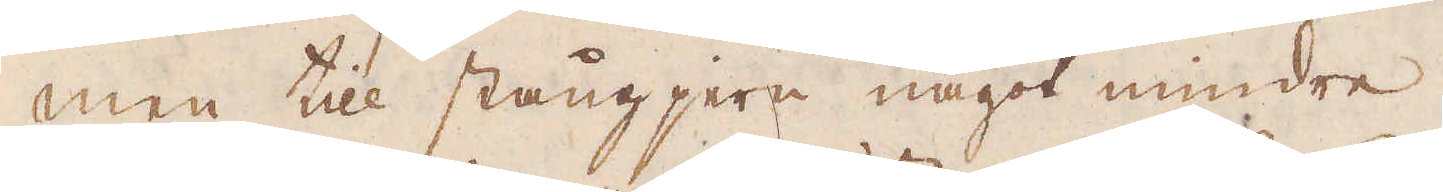men till stångjern något mindre.
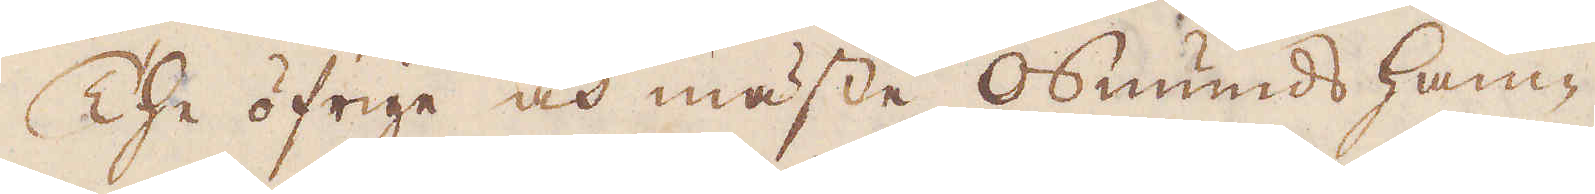The öfrige och mäste Osmunds ham-
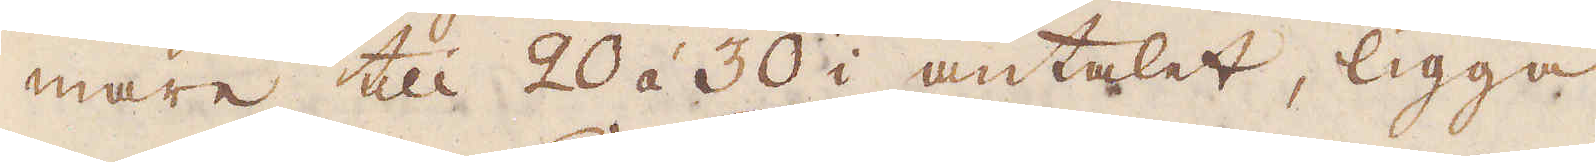mare till 20 á 30 i antalet, ligga
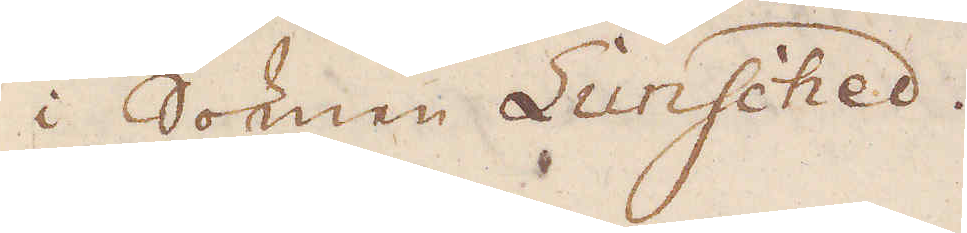i Soknen Lunsched.
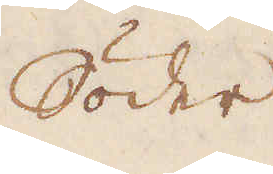Söder
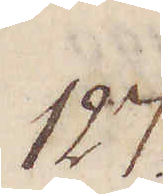127.
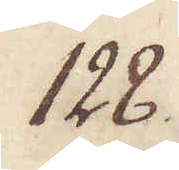128.
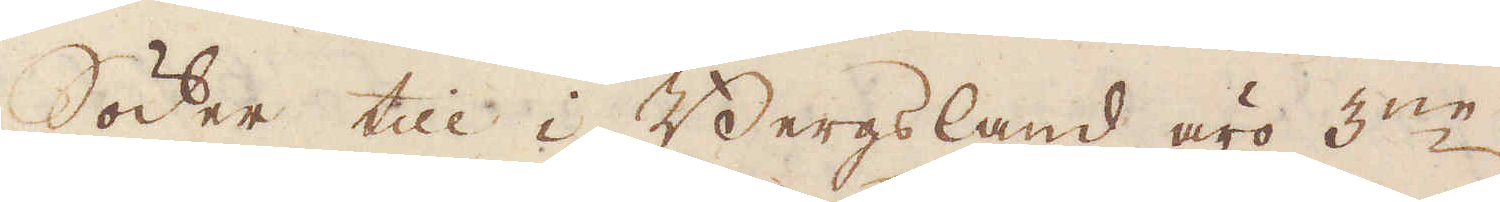Söder till i Bergsland äro 3:ne
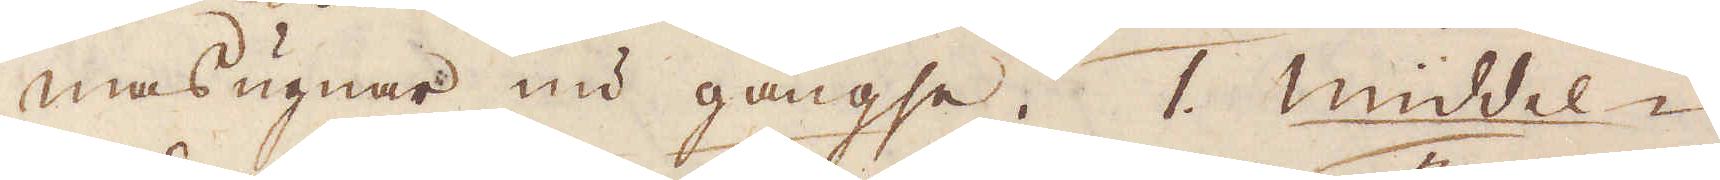masugnar nu gångse. 1. Middel-
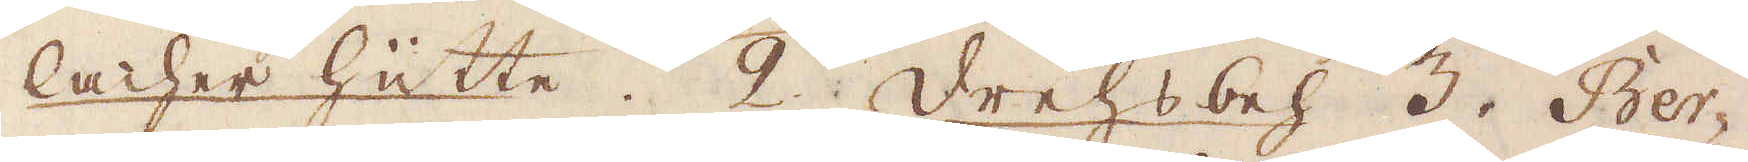lacher hüitte. 2 Drehsbeh 3. Ber-
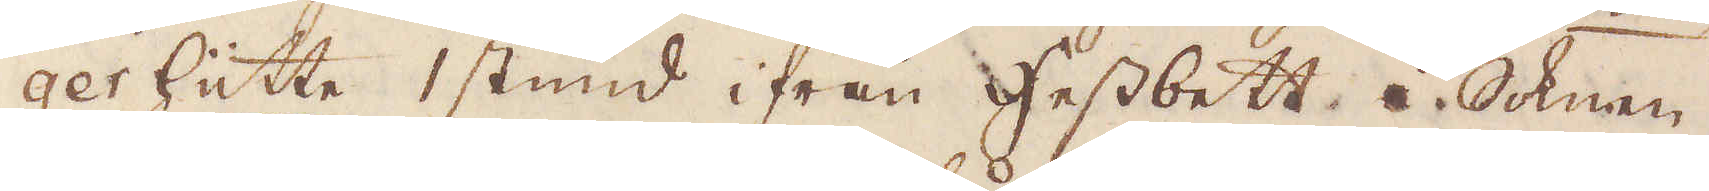ger hüitte 1 stund ifrån Hessbett i Soknen
